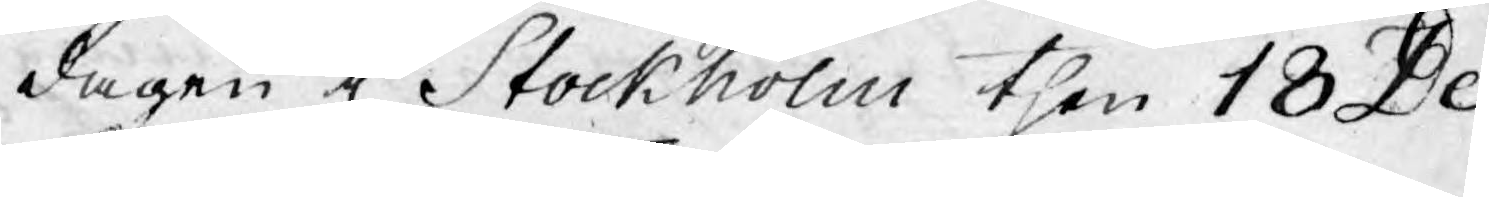dagen i Stockholm then 18 De¬
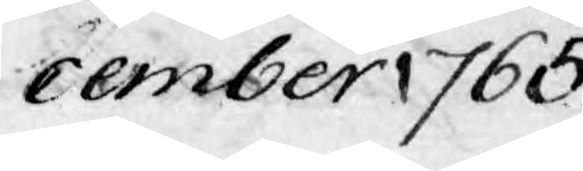cember 1765.
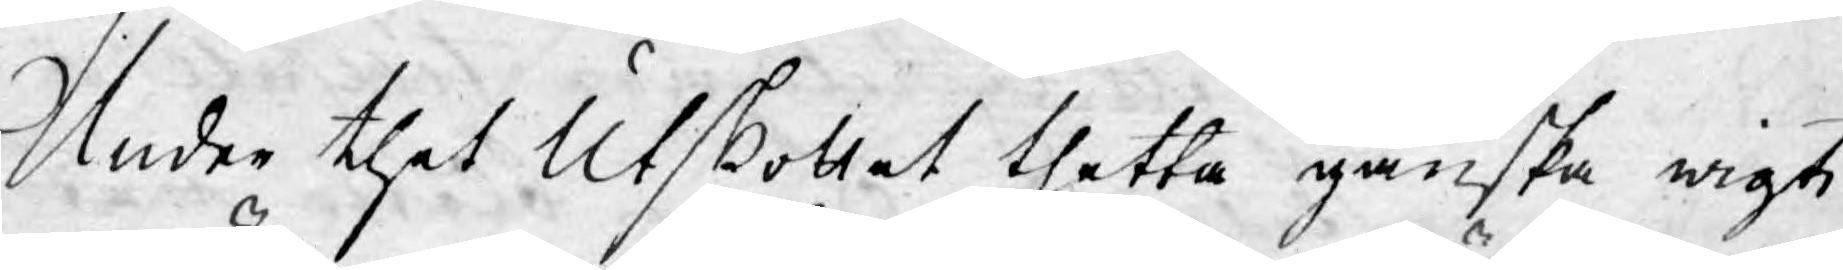Under thet Utskottet thetta ganska wigti¬
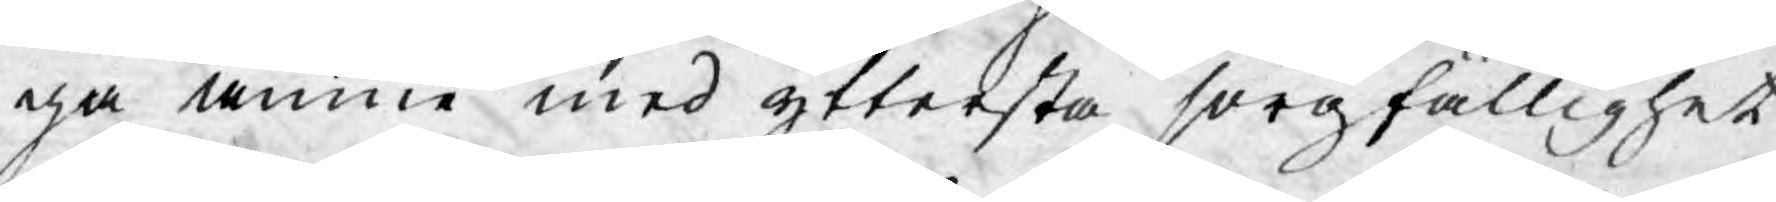ga ämne med yttersta sorgfällighet
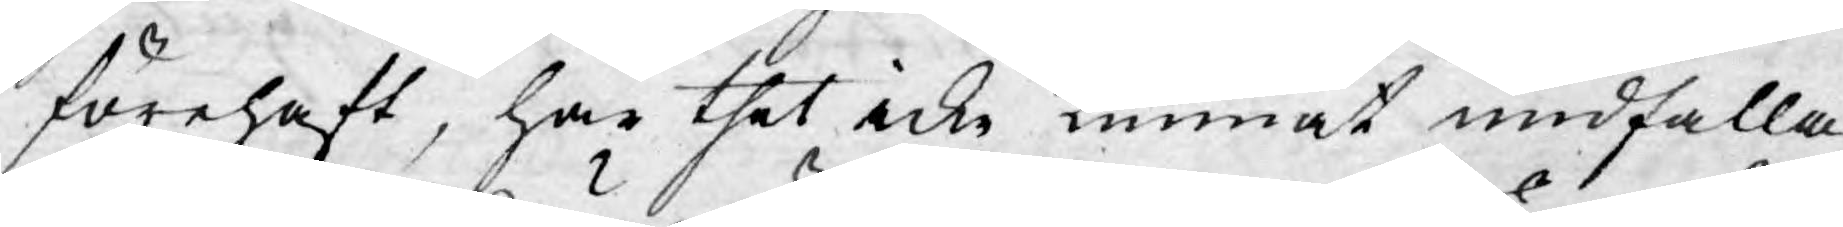förehaft, har thet icke kunnat undfalla
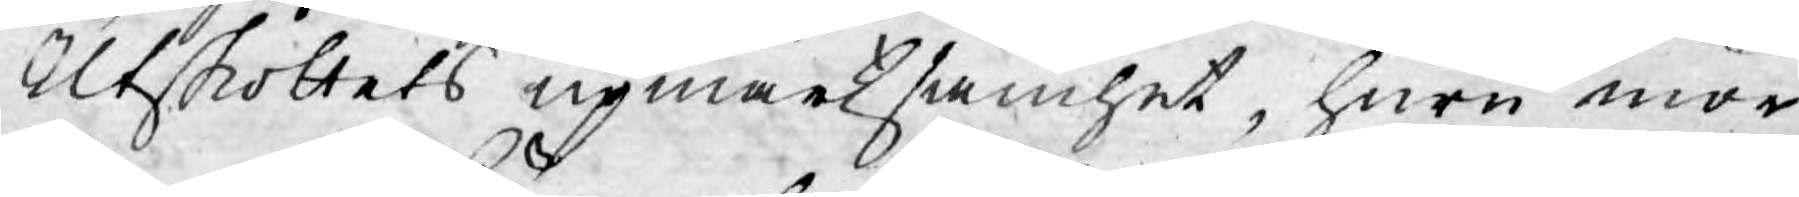Utskottets upmärksamhet, huru mör¬
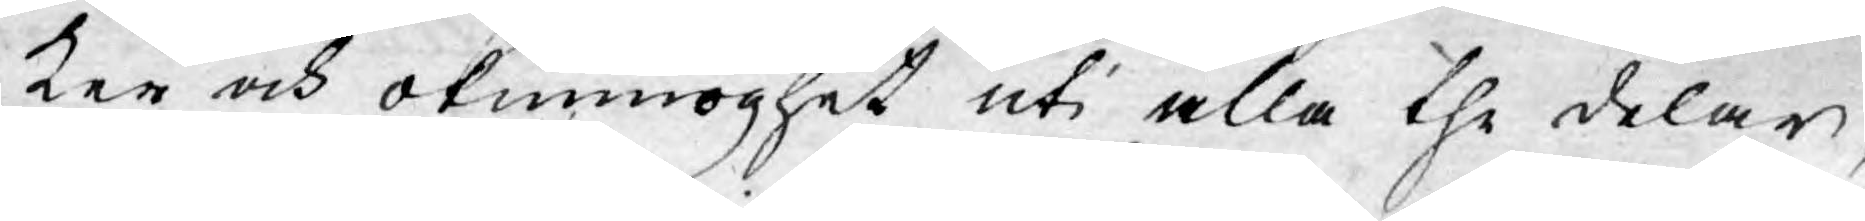ker och okunnoghet uti alla the delar,
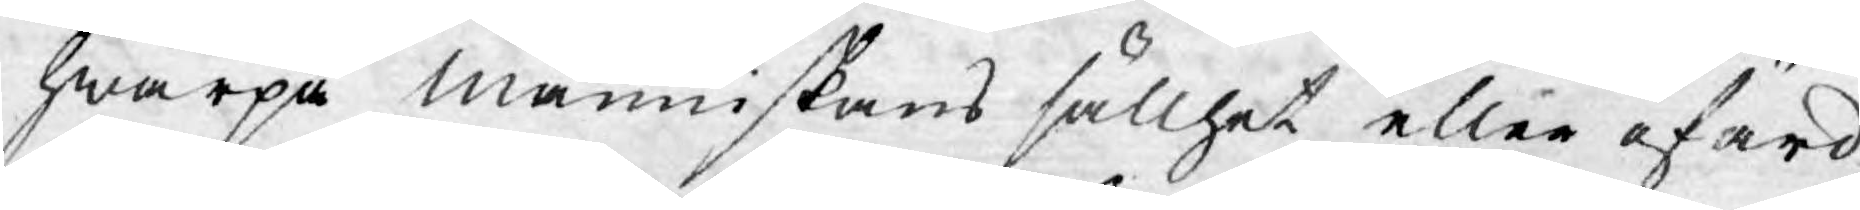hwarpå människans sällhet eller ofärd
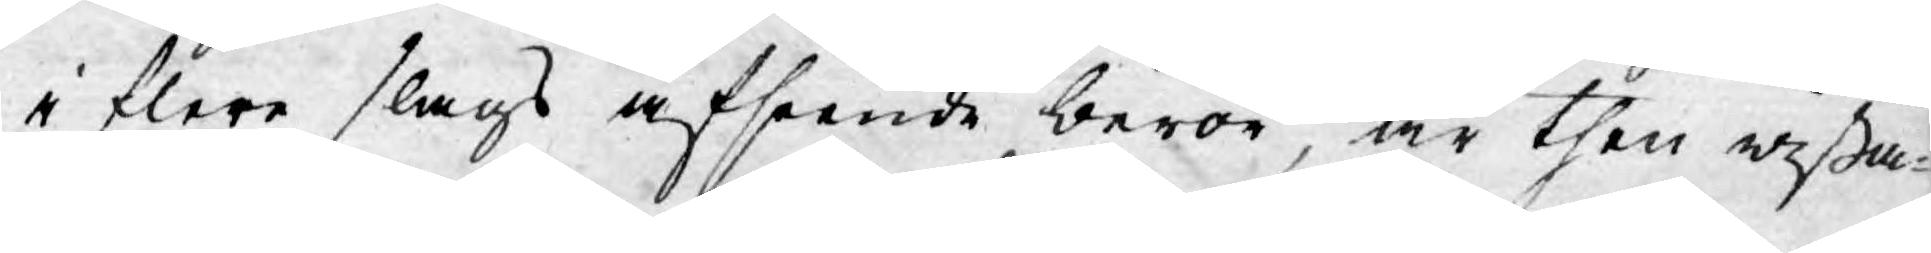i flere slags afseende beror, är then wißa¬
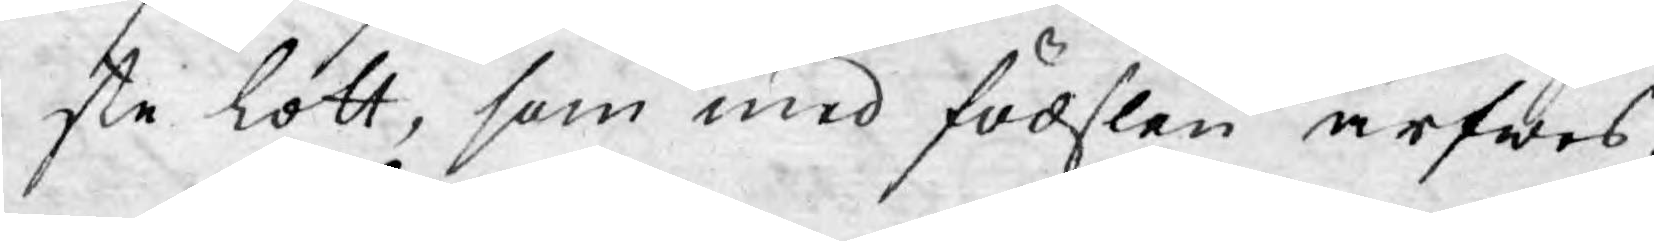ste lott, som med födslen ärfwes.
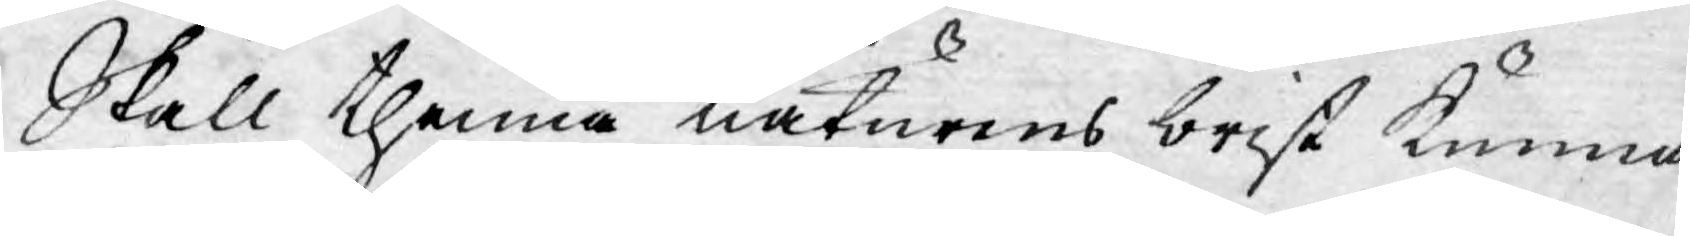Skall thenna naturens brist kunna
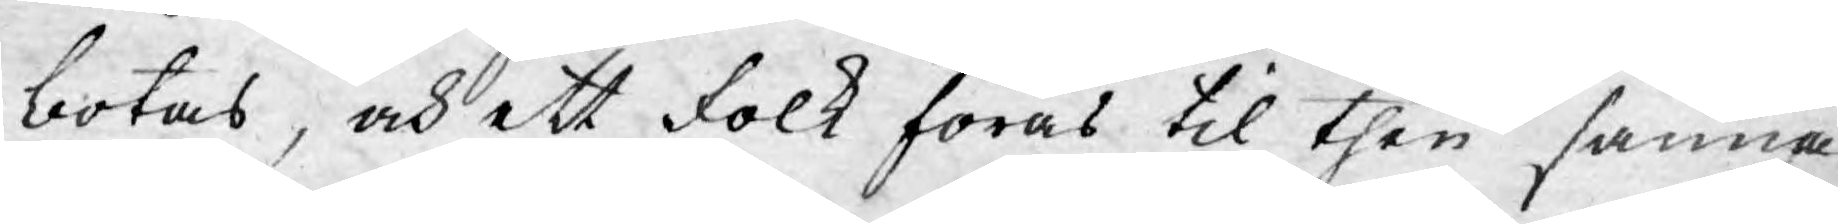botas, och ett folk föras til then sanna
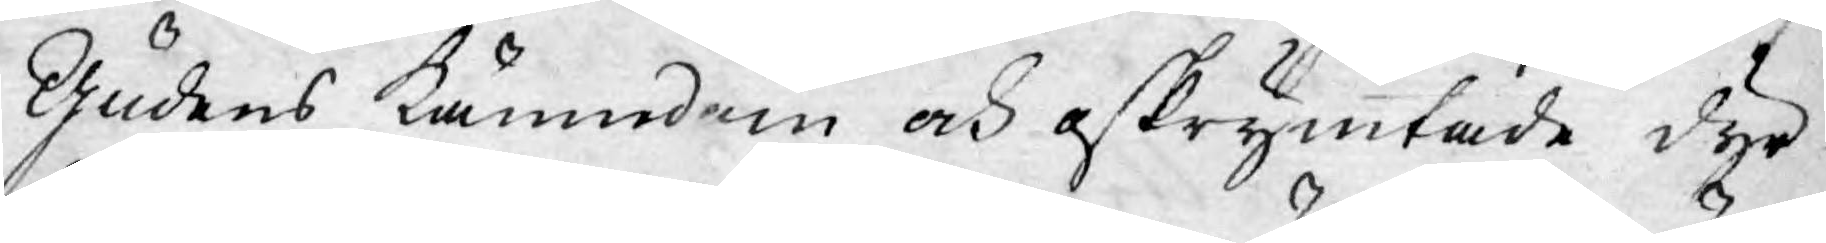Gudens kännedom och oskrymtade dyr¬
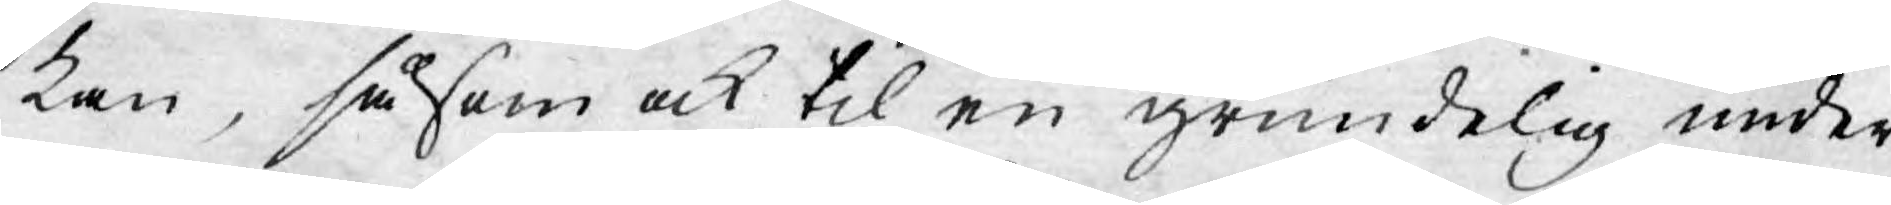kan, såsom ock til en grundelig under¬
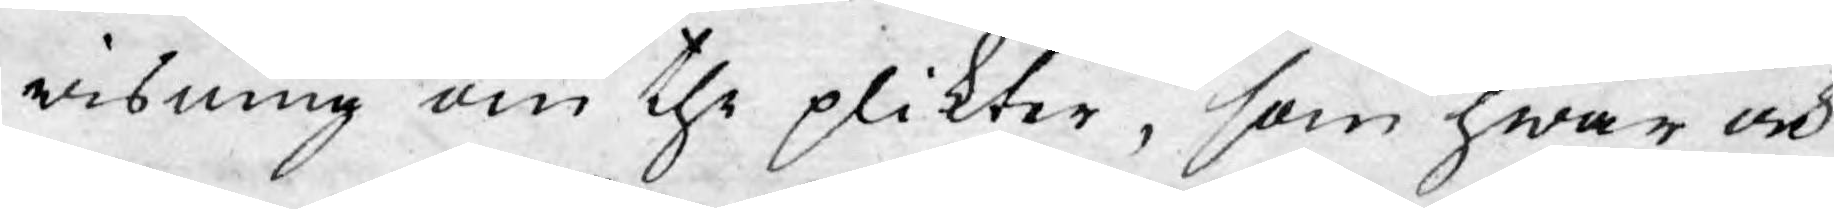wisning om the plikter, som hwar och
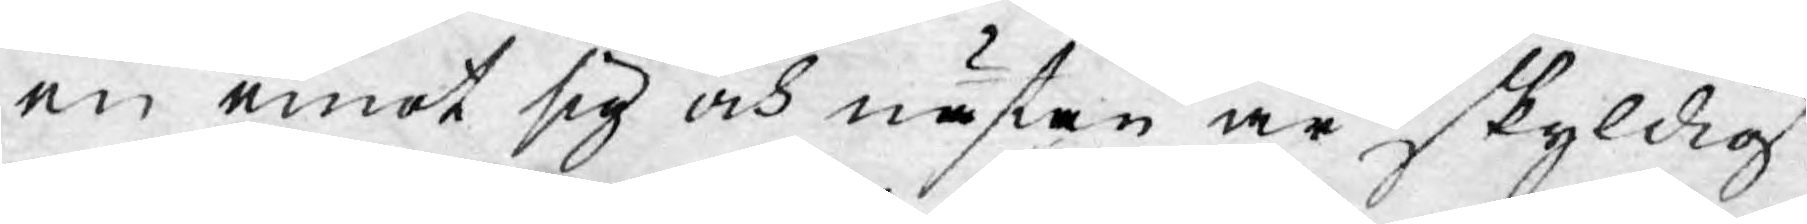en emot sig och nästan är skyldig
